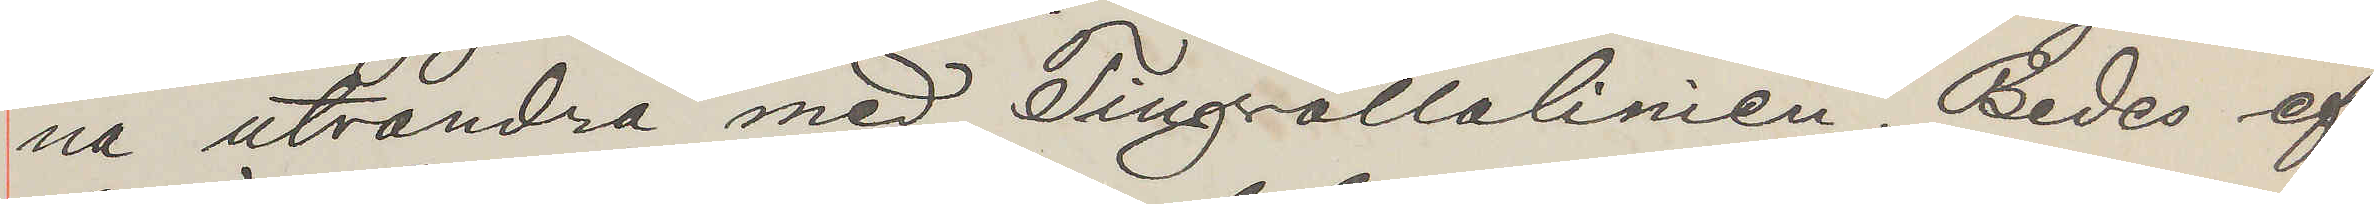na utvandra med Tingvallalinien. Bedes ef¬
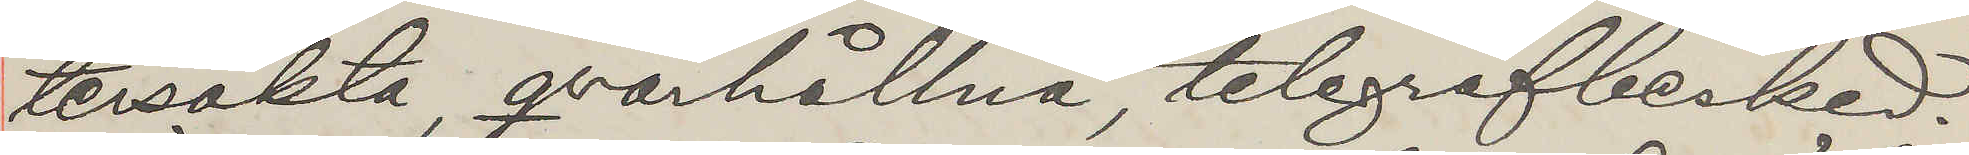tersökta, qvarhållna, telegrafbesked.
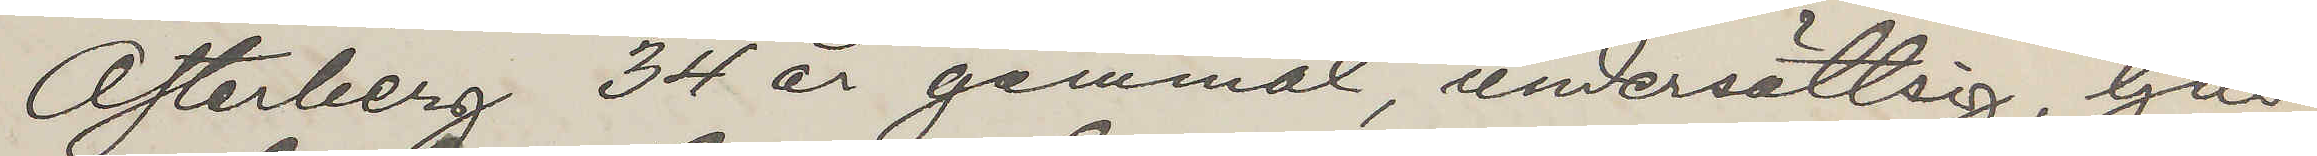Österberg 34 år gammal, undersättsig, ljus,
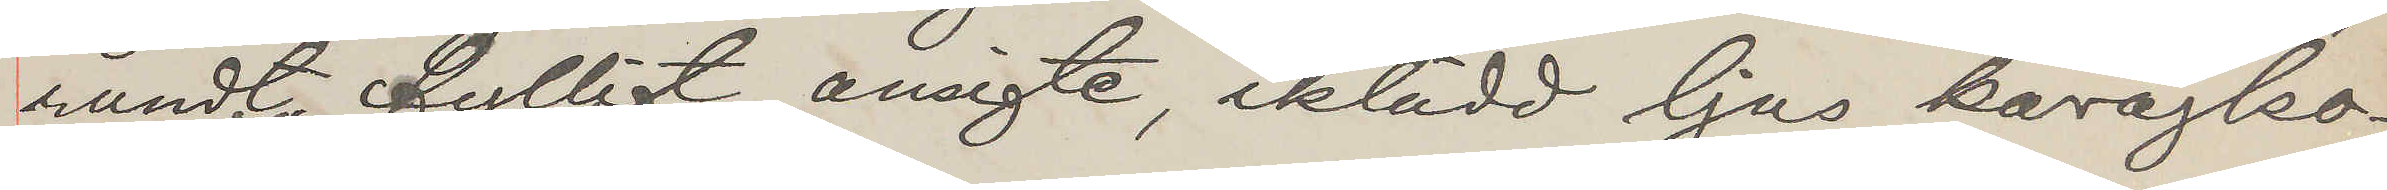rundt fylligt ansigte, iklädd ljus kavajko¬
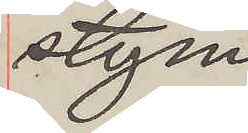stym
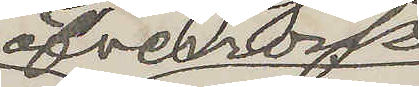öfverrock
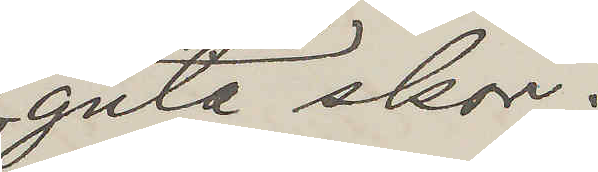gula skor.
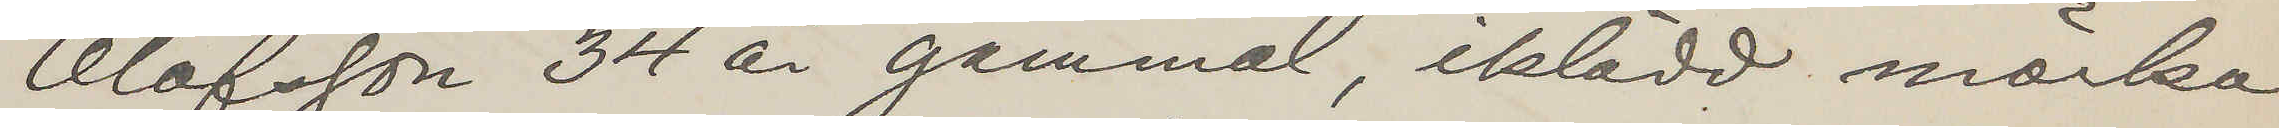Olofsson 34 år gammal, iklädd mörka
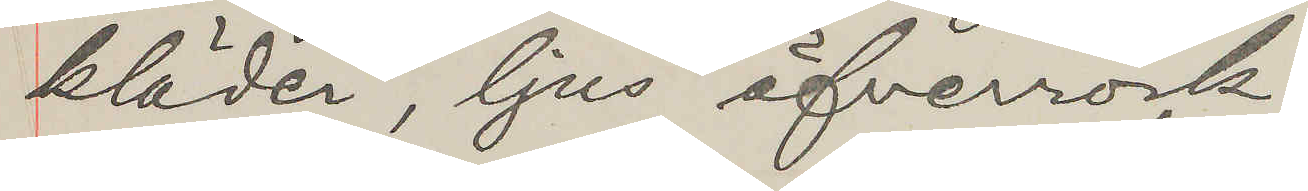kläder, ljus öfverrock.
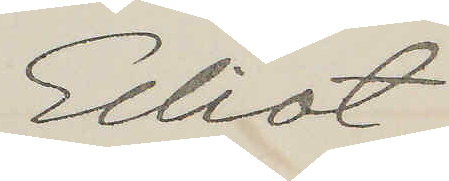Elliot
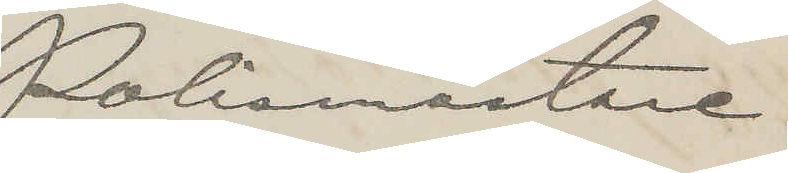Polismästare
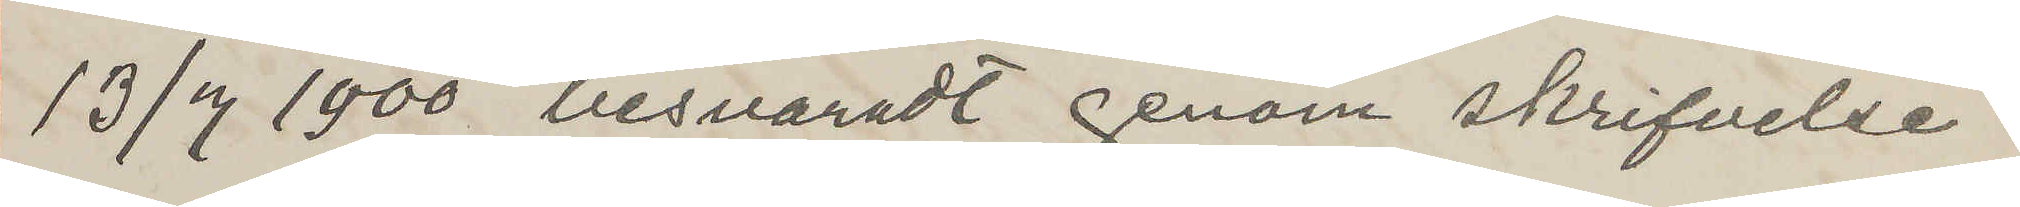13/7 1900 besvaradt genom skrifvelse.
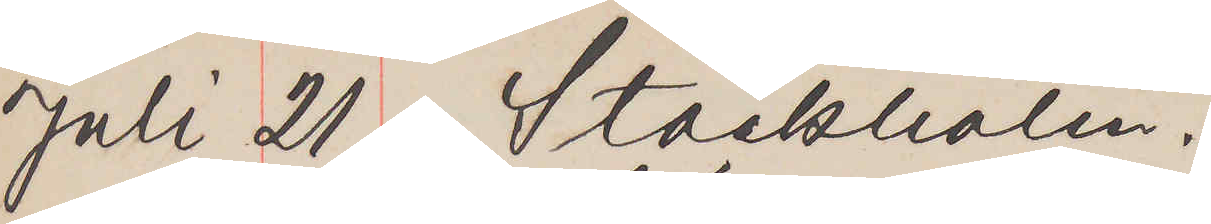Juli 21. Stockholm.
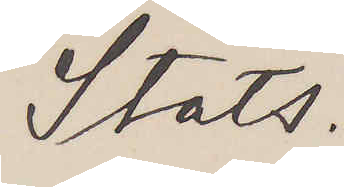Stats.
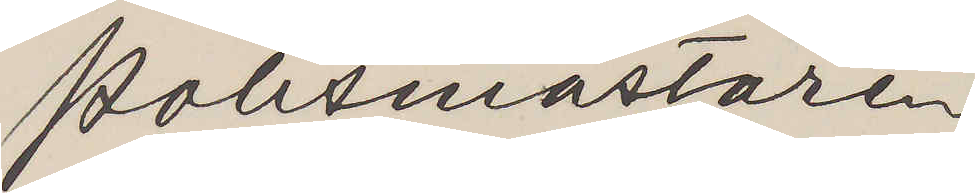Polismästaren,
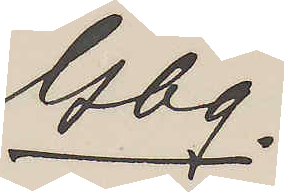Gbg.
